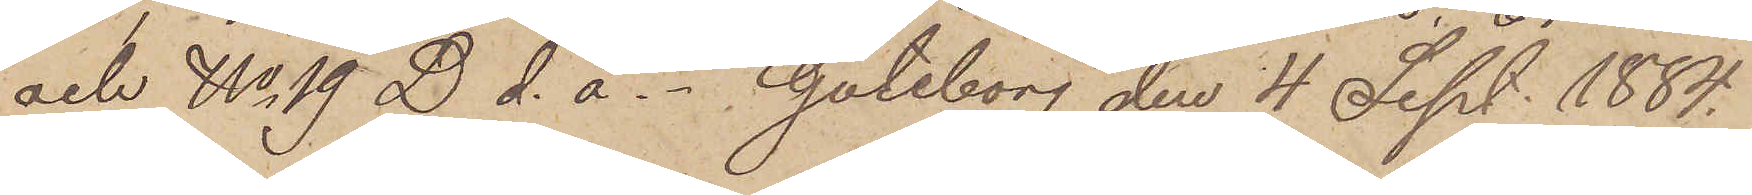och No 19 D. d.å.  Göteborg den 4 Sept. 1884.
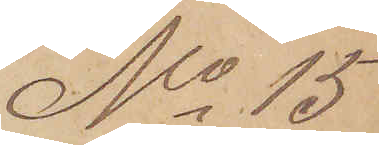No 15
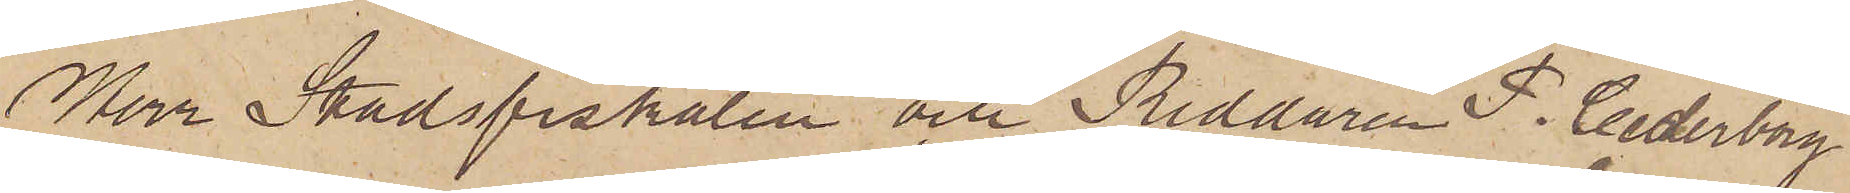Herr Stadsfiskalen och Riddaren P. Cederborg
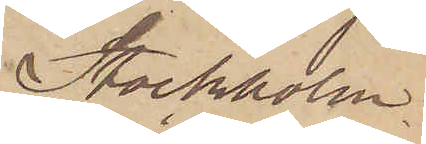Stockholm.
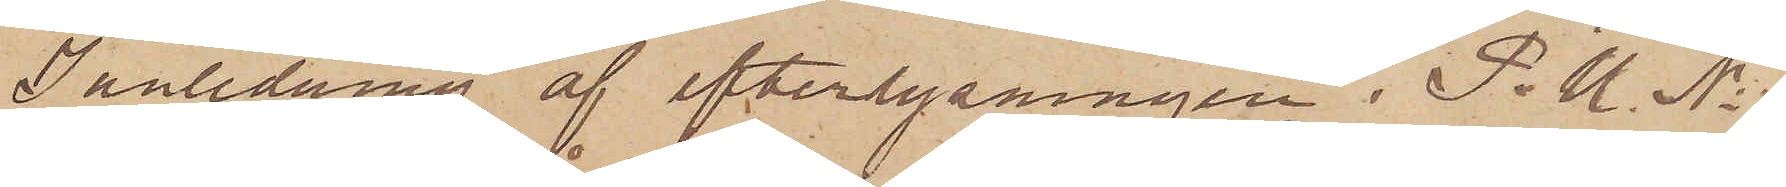I anledning af efterlysningen i P. U. No
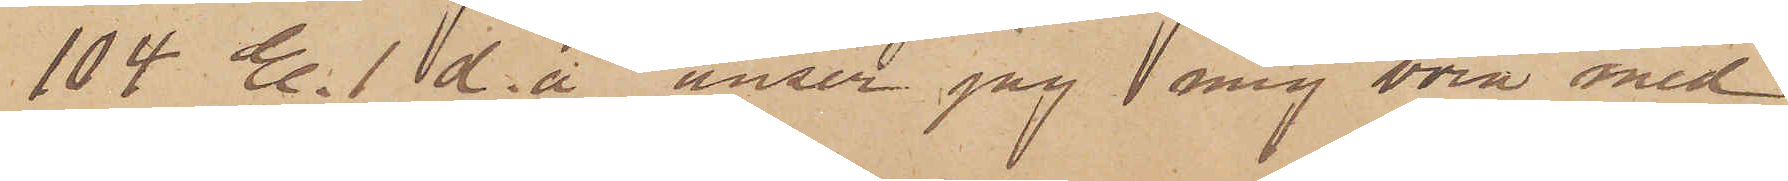104 E.1 d. å anser jag mig böra med
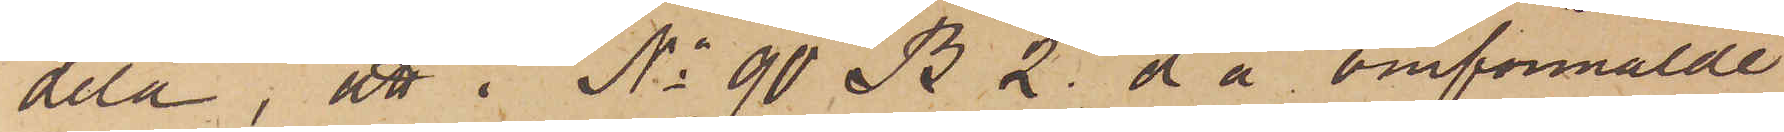dela, att i No 90 B.2 d å omförmälde
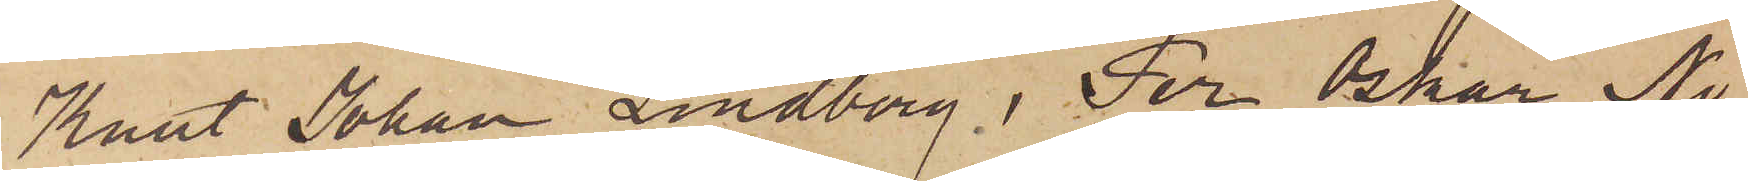Knut Johan Lindberg, Per Oskar Ni¬
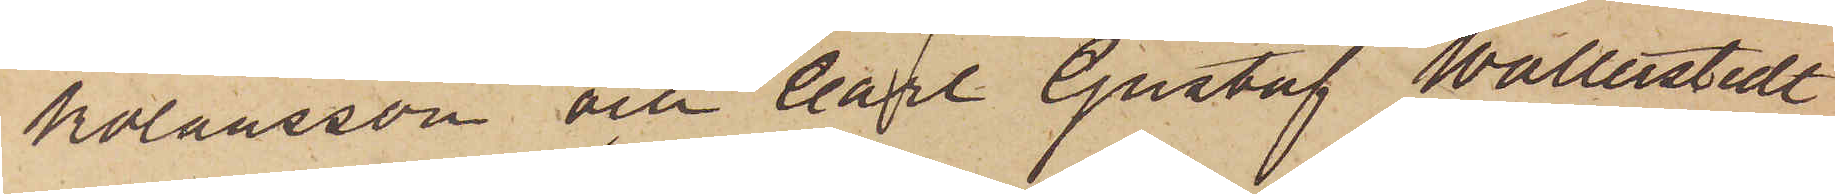kolausson och Carl Gustaf Wallerstedt,
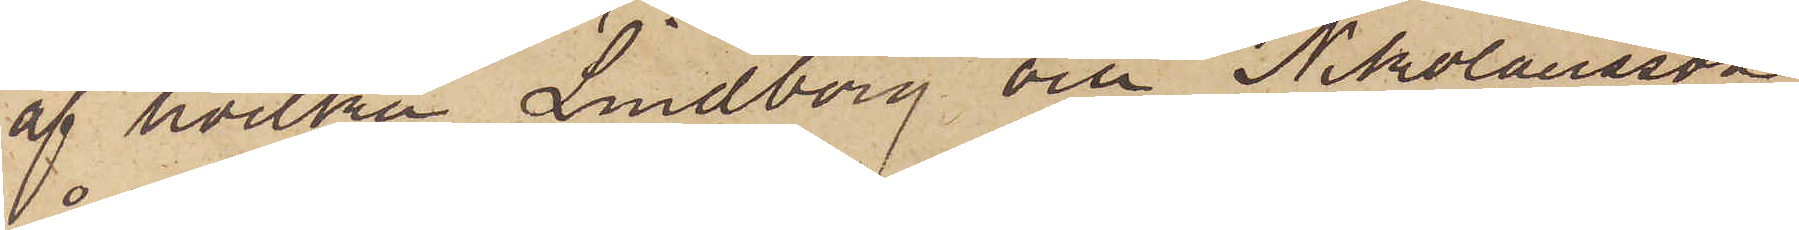af hvilka Lindberg och Nikolausson
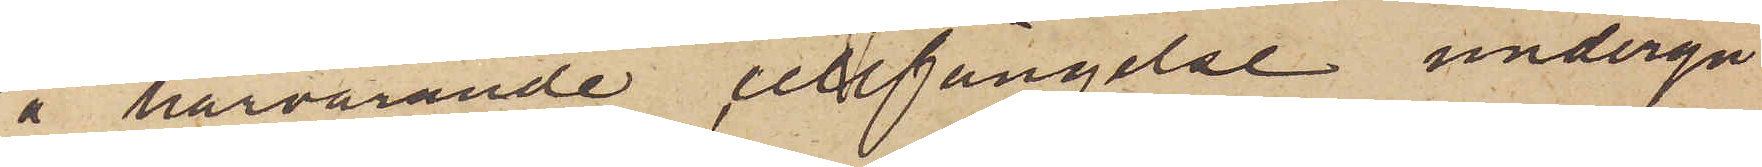å härvarande cellfängelse undergå
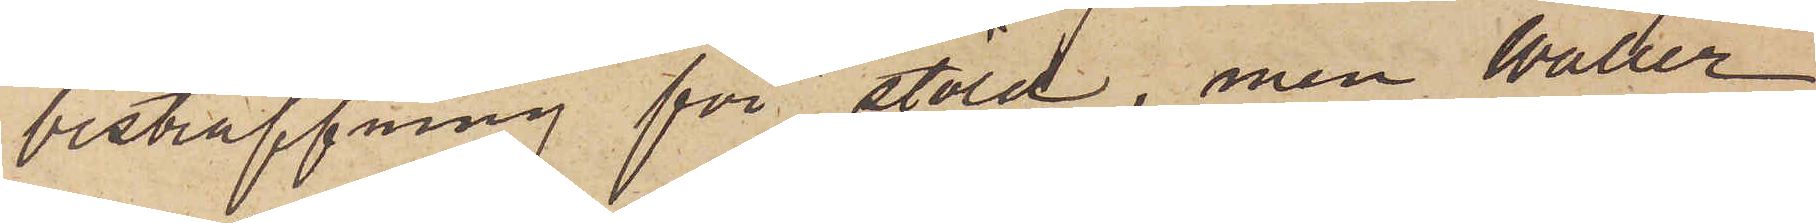bestraffning för stöld, men Waller¬
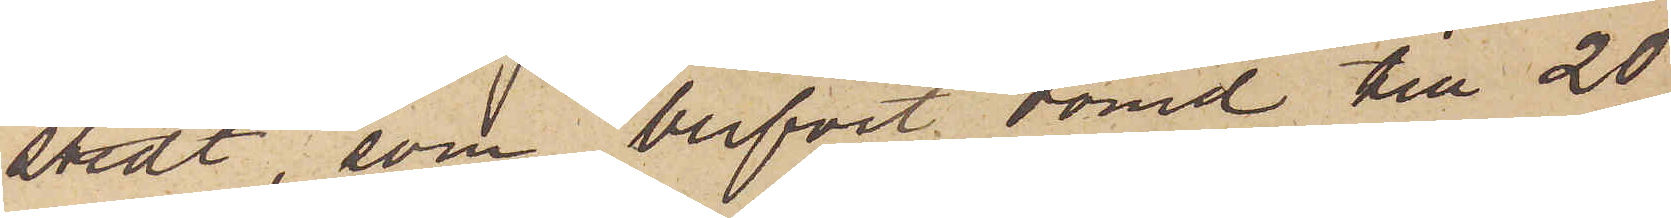stedt, som blifvit dömd till 20
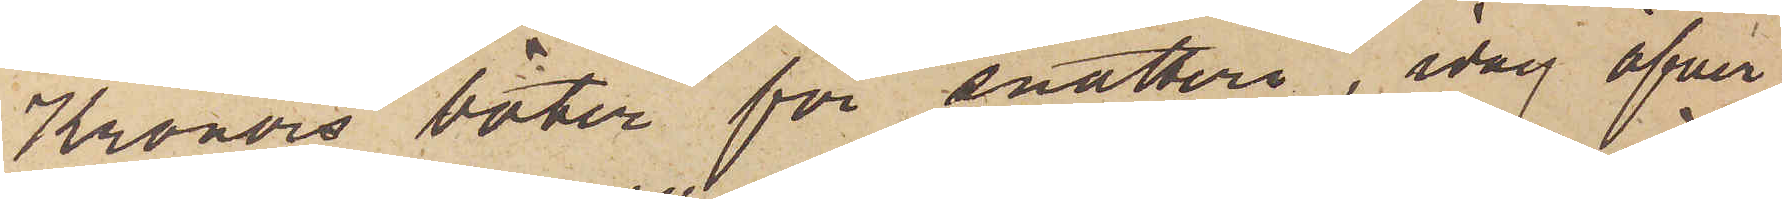Kronors böter för snatteri, idag öfver¬
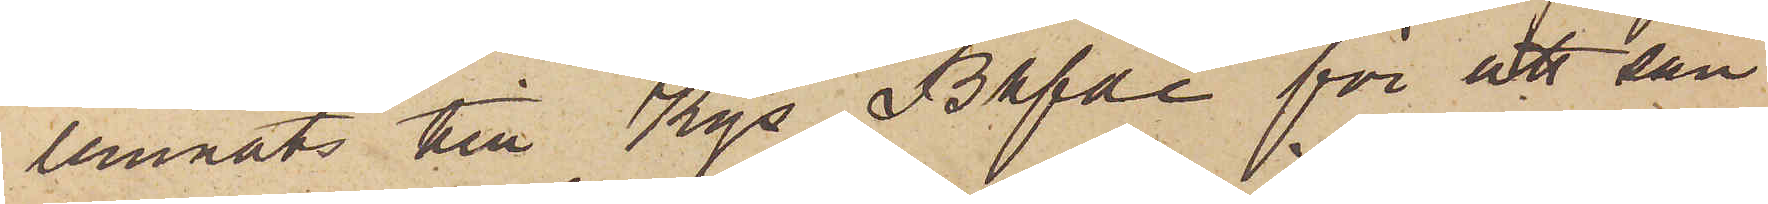lemnats till Kgs Bhfre för att sän¬
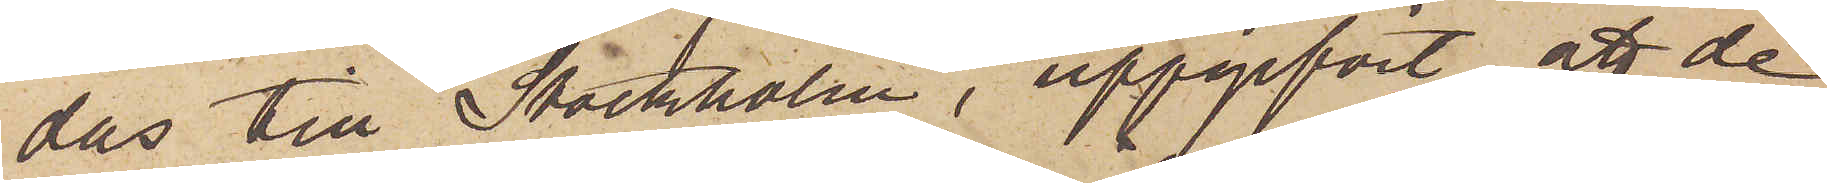das till Stockholm, uppgifvit att de
